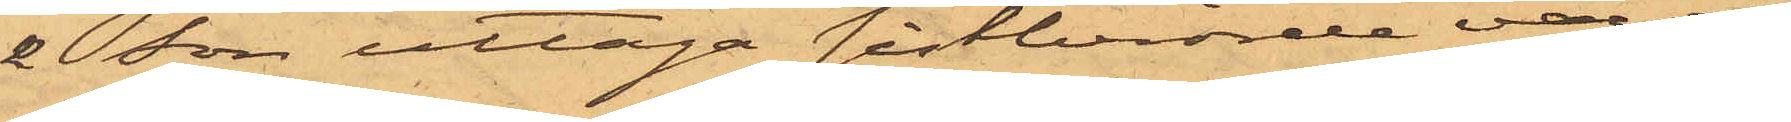& Son uttaga sistberörde varor,
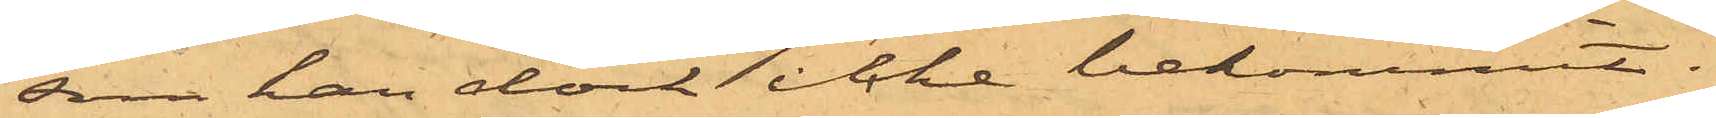som han dock icke bekommit.
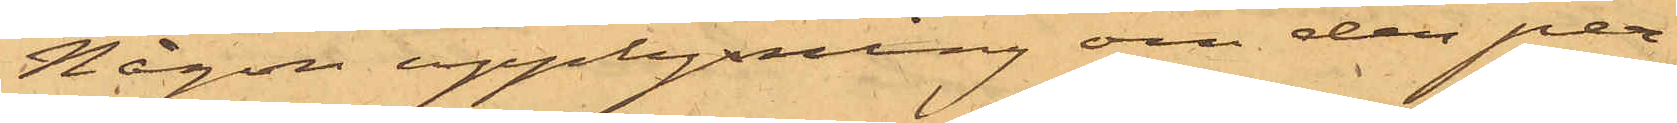Någon upplysning om den per¬
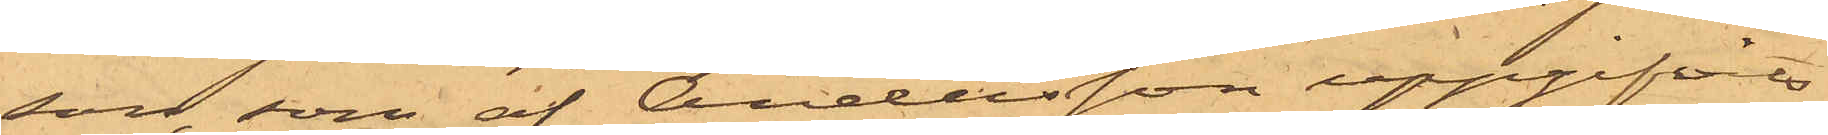son, som af Andersson uppgifvit
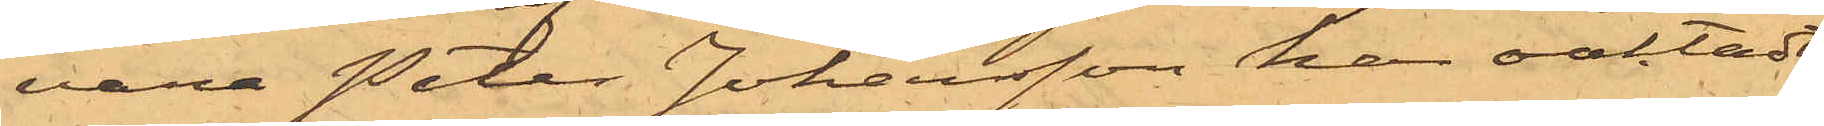vara Peter Johansson har oaktadt
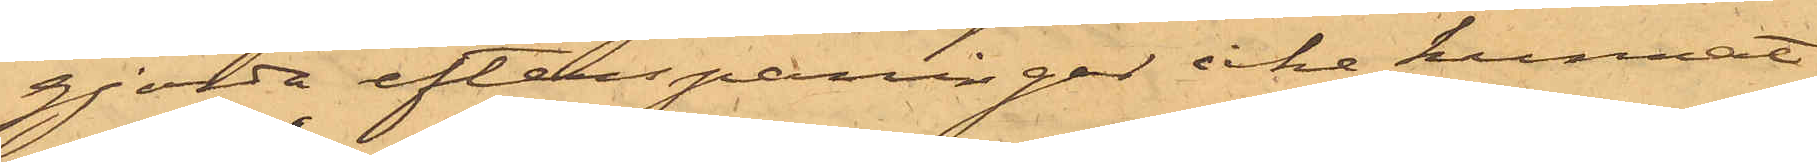gjorda efterspaningar icke kunnat
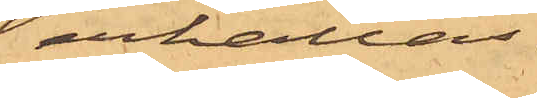erhållas.
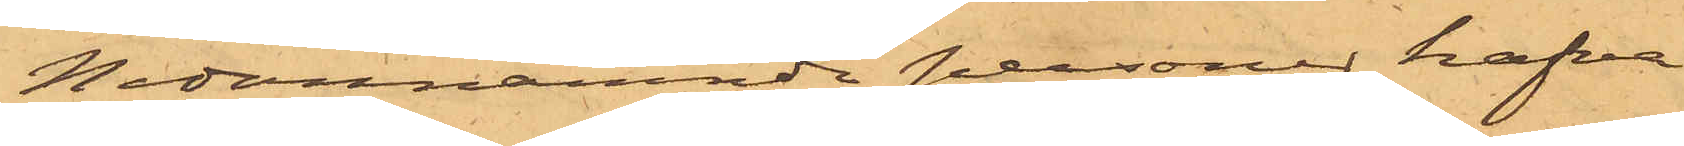Nedannämnde personer hafva
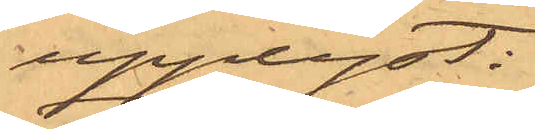upplyst:
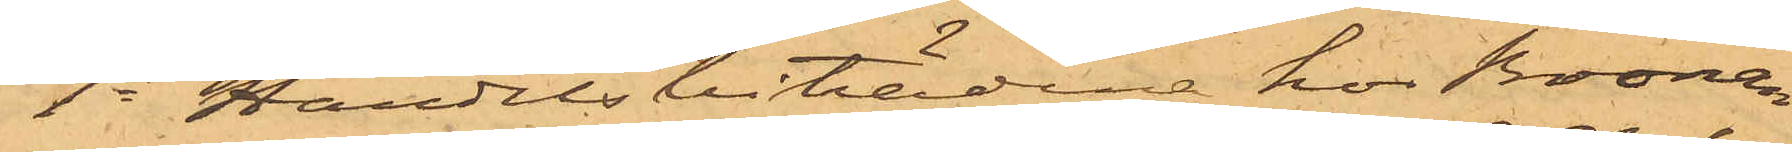1o Handelsbiträdena hos Bronan¬
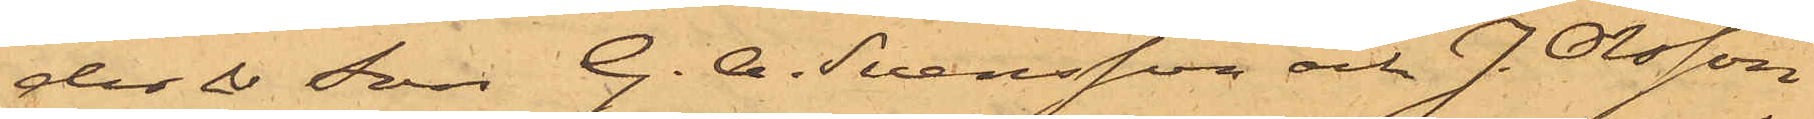der & Son G. A. Svensson och J. Olsson
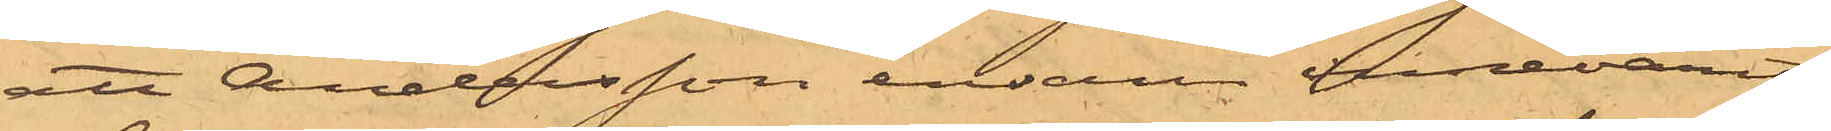att Andersson ensam innevarit
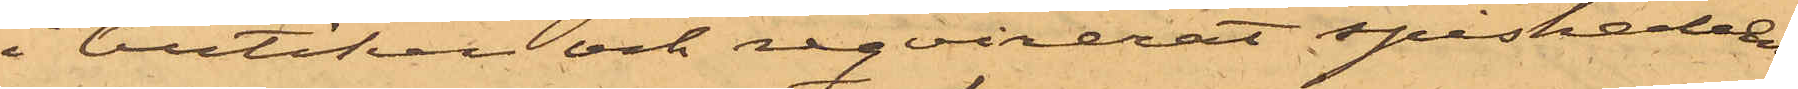i butiken och reqvirerat spishallen
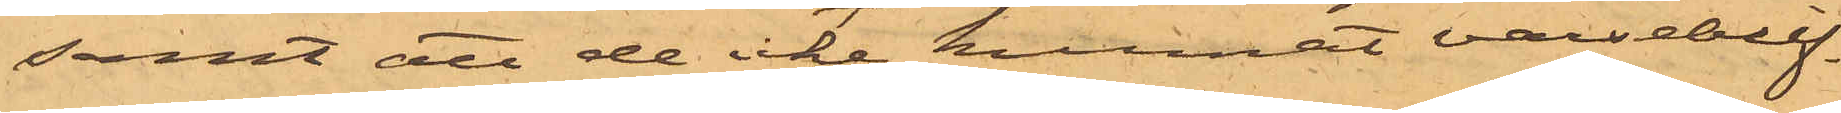samt att de icke kunnat varseblif¬
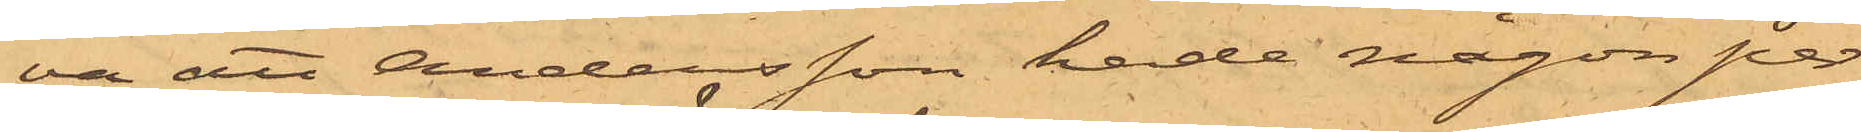va att Andersson hade någon per¬
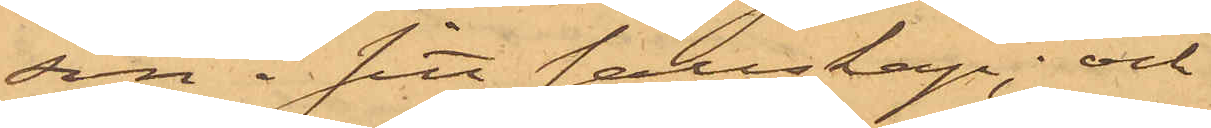son i sitt sällskap; och
